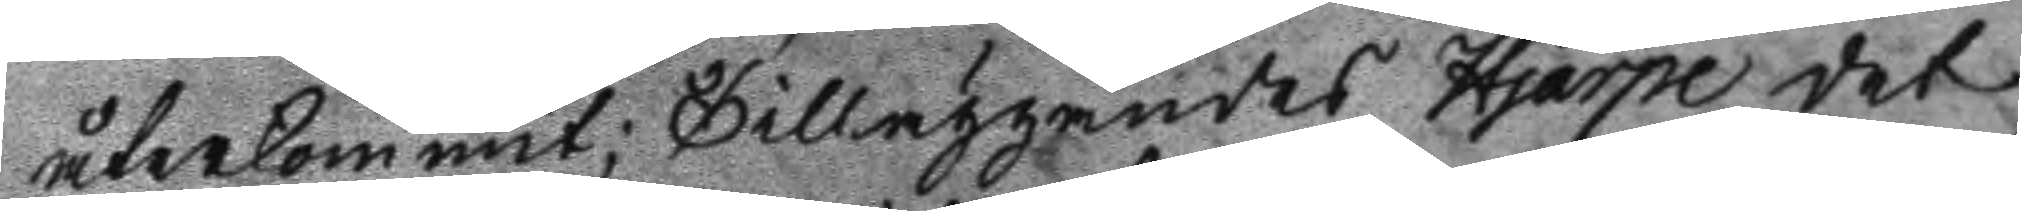återkommit; Tilläggandes Hjärpe det
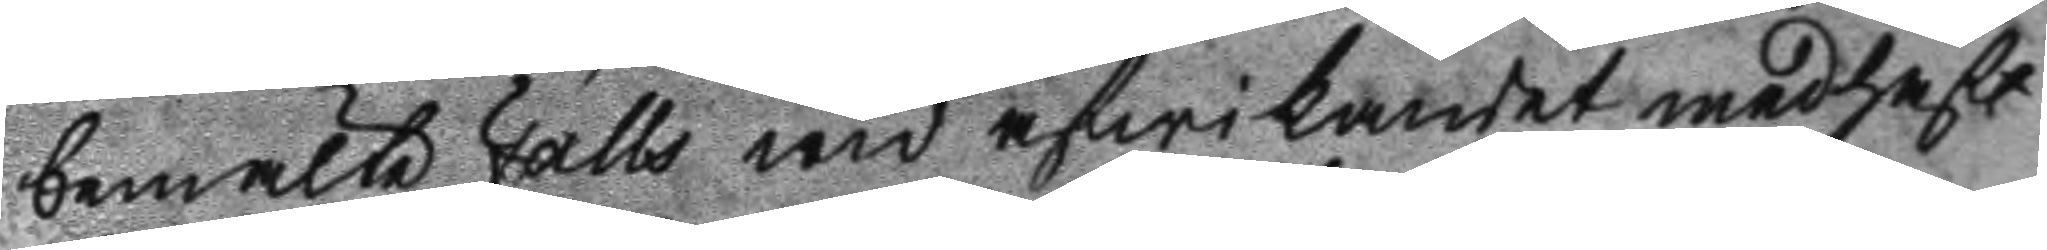bemälte Falls wid afwikandet medhaft
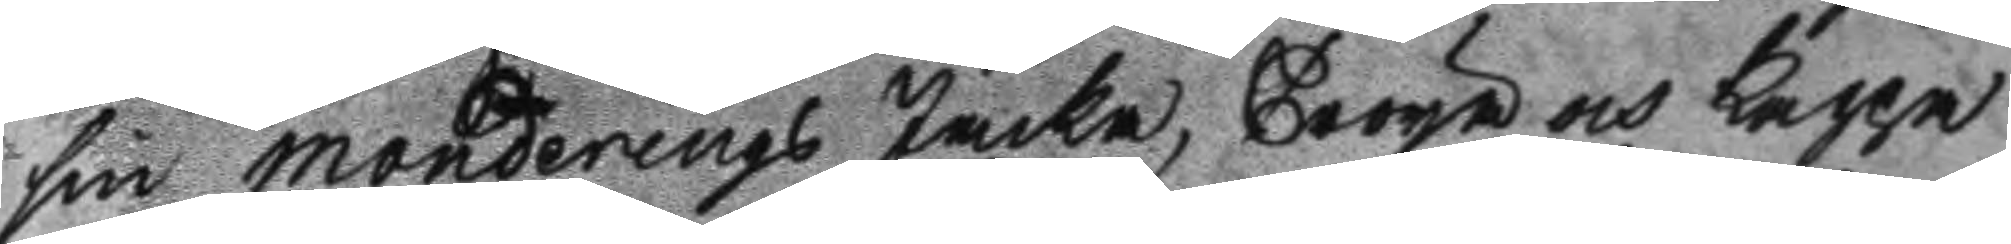sin monderings Jacka, Tröja och Kappa
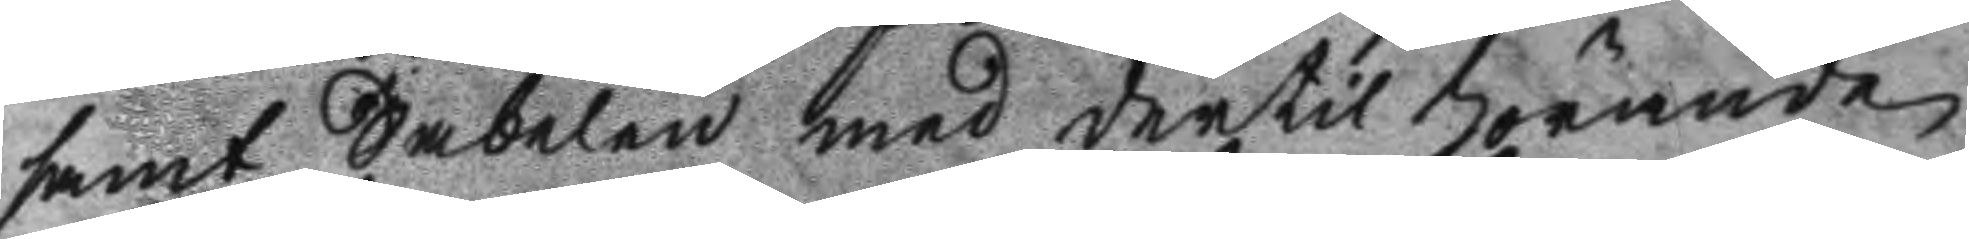samt Sabelen med dertil hörande
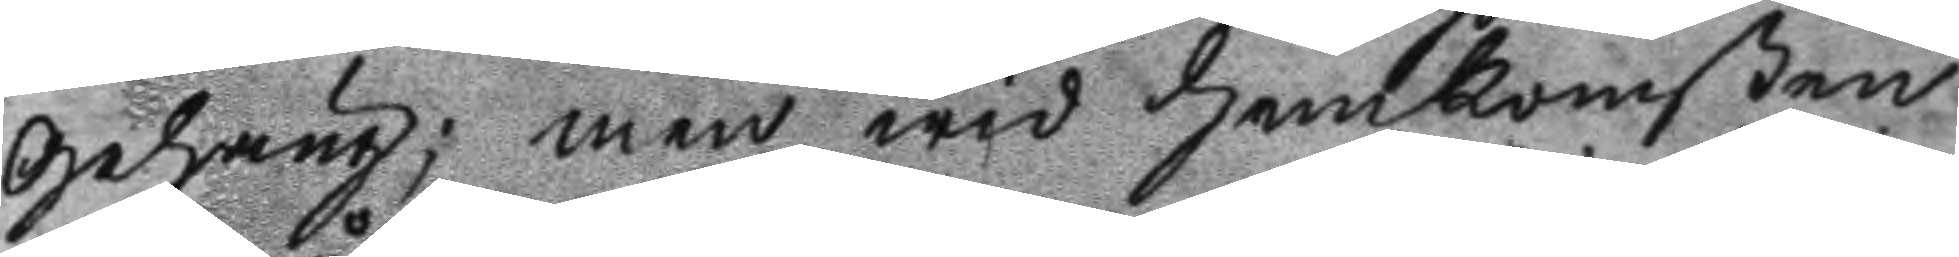Gehäng; men wid hemkomsten
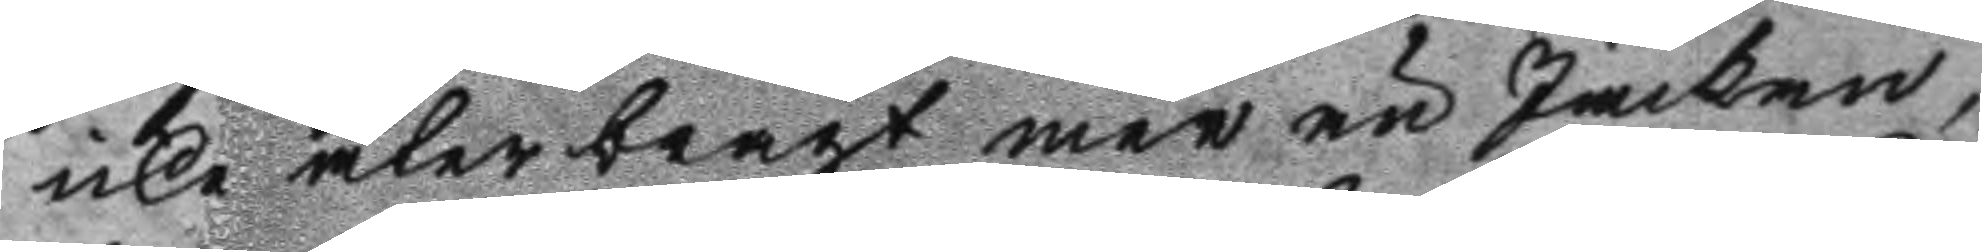icke återbragt mer än Jackan,
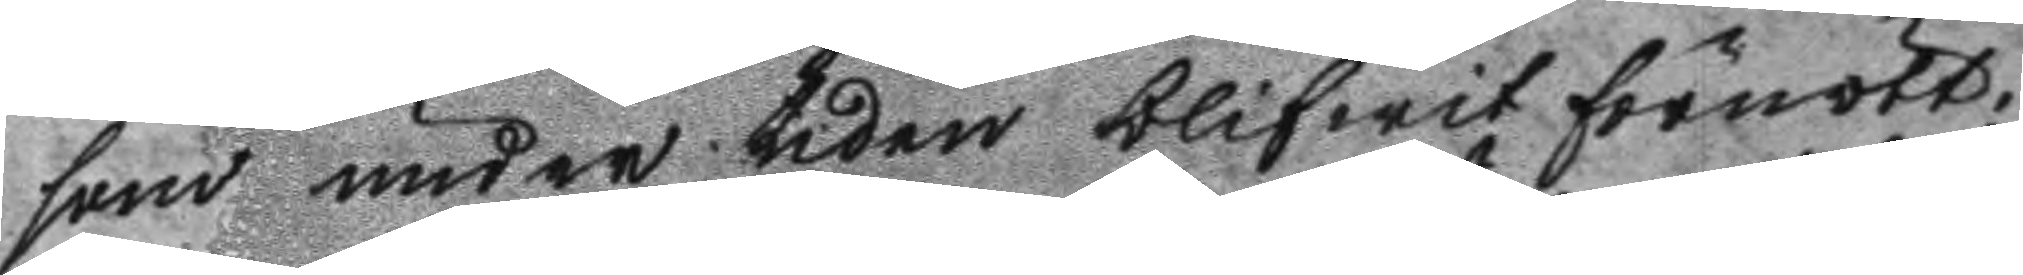som under tiden blifwit förnött.
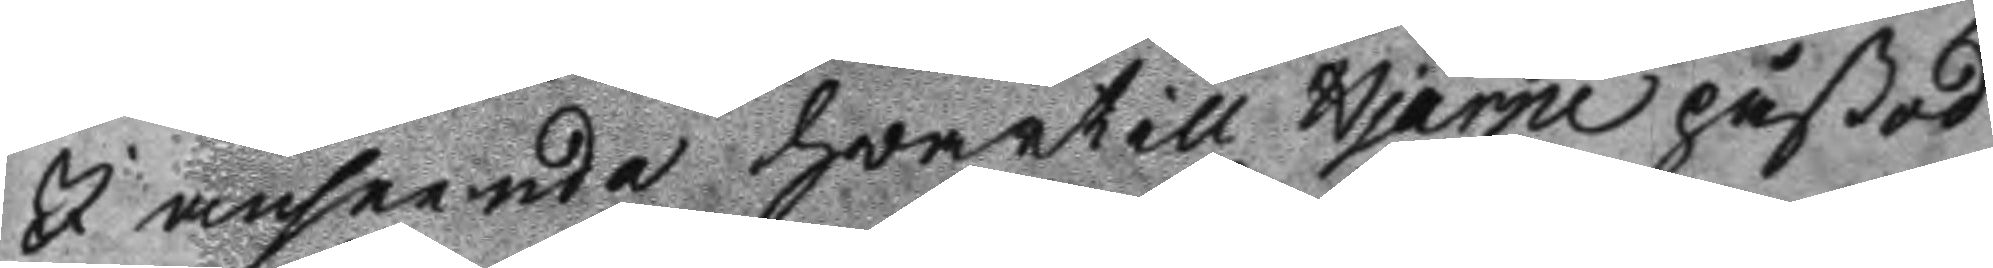I anseende hwartill Hjärpe påstod
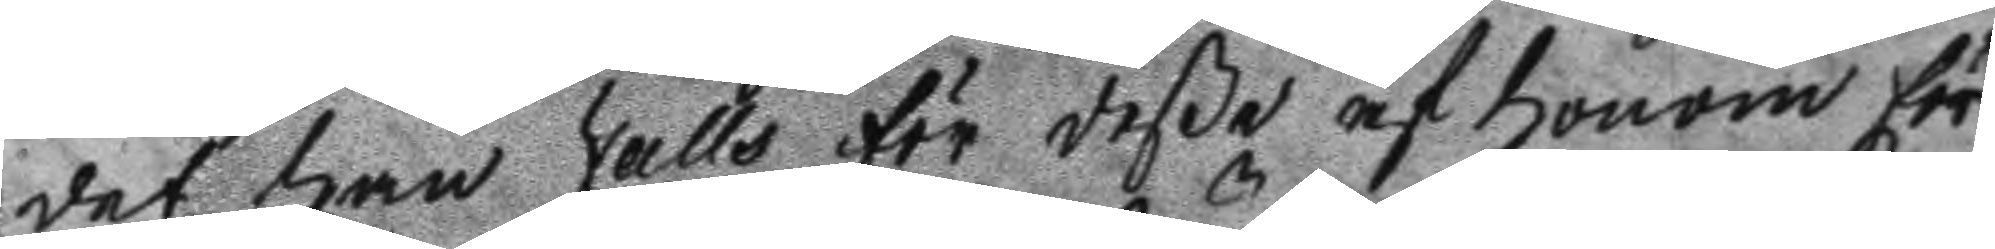det han Falls för deße af honom för
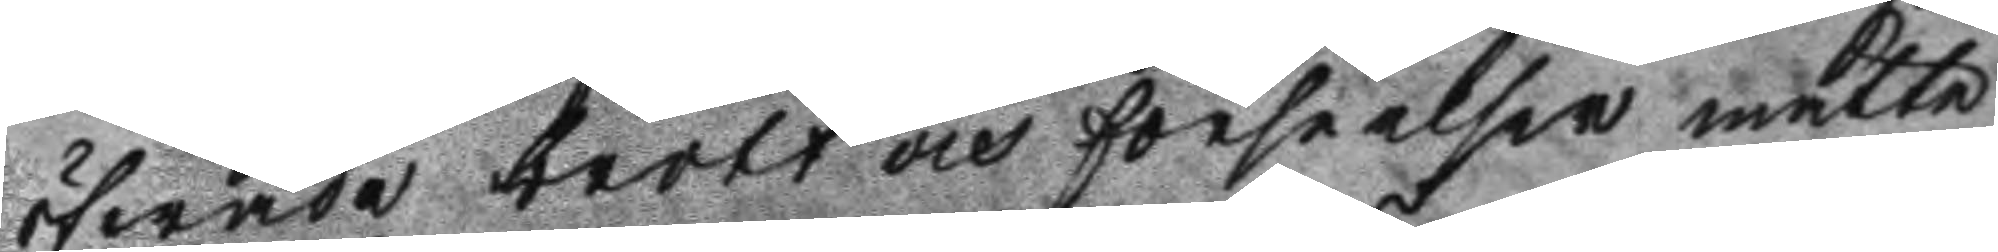ögwade brott och förseelder måtte
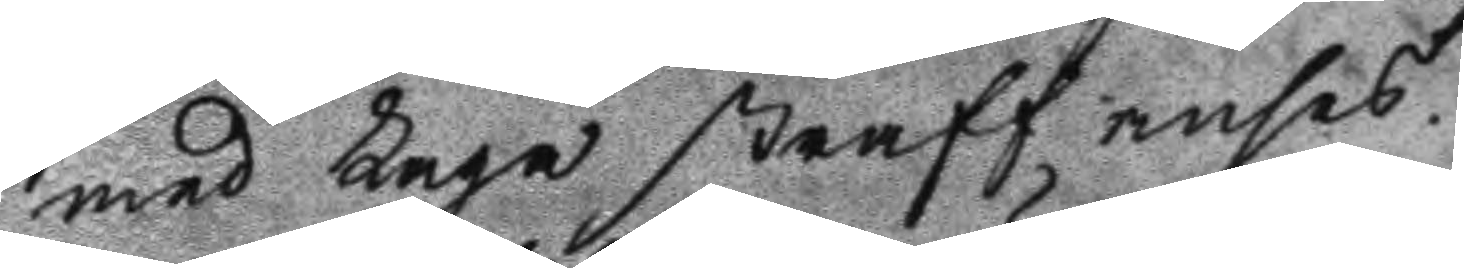med Laga straff anses.
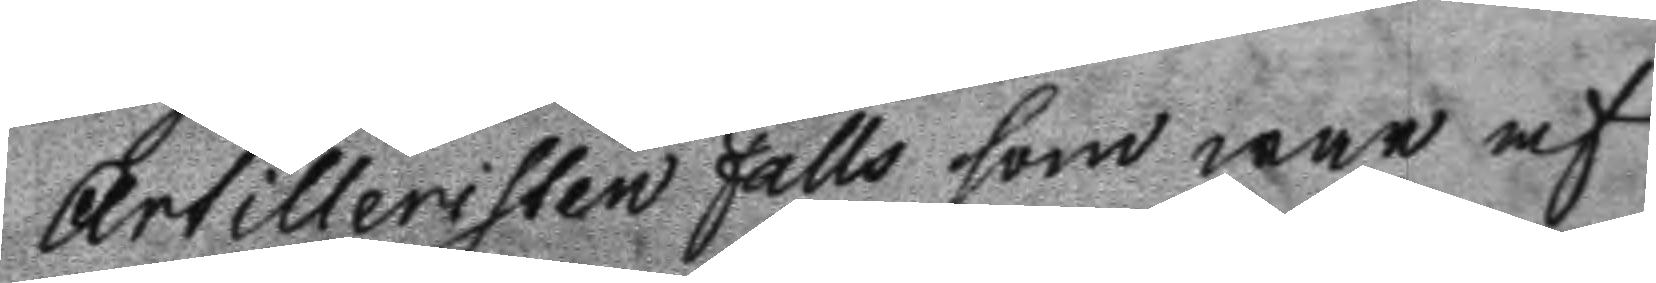Artilleristen Falls som war af
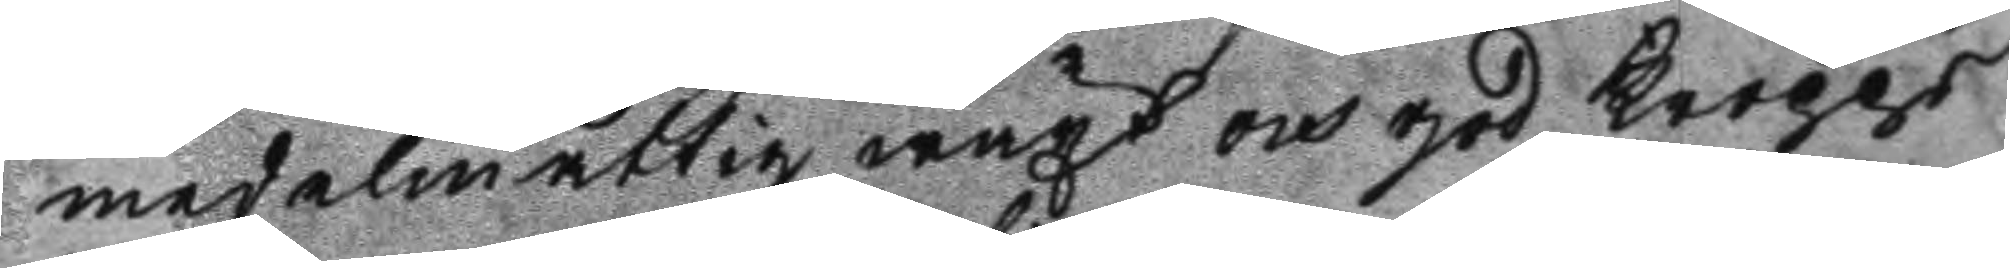medelmåtig wäxt och god kropps
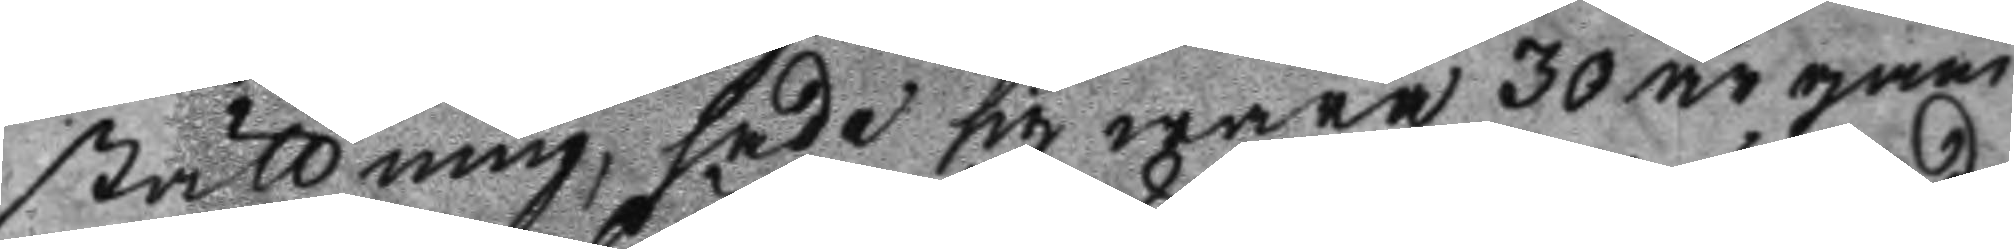ställning, sade sig wara 30 år gam
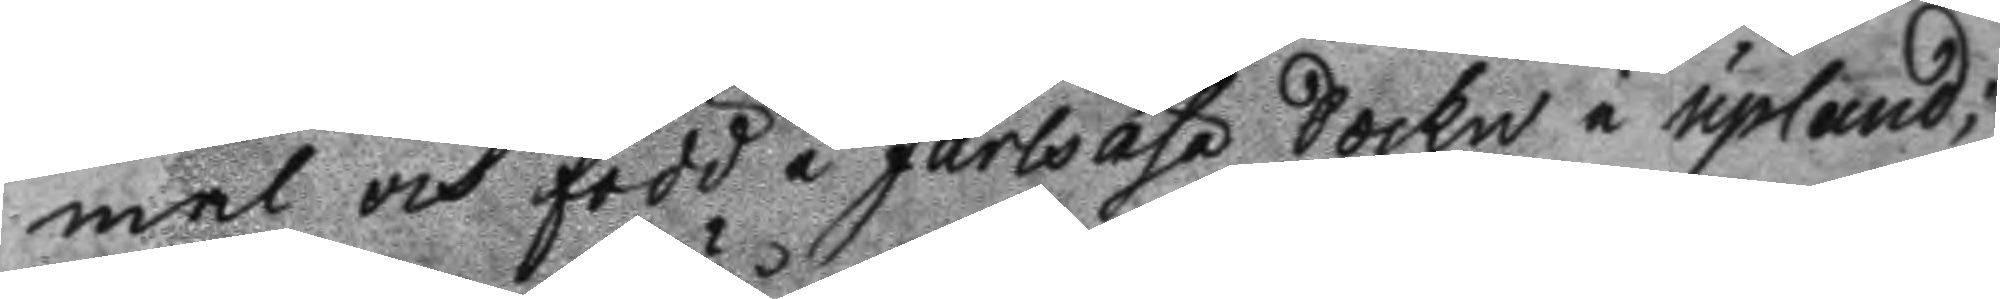mal och född i Järlsåsa Sockn i upland;
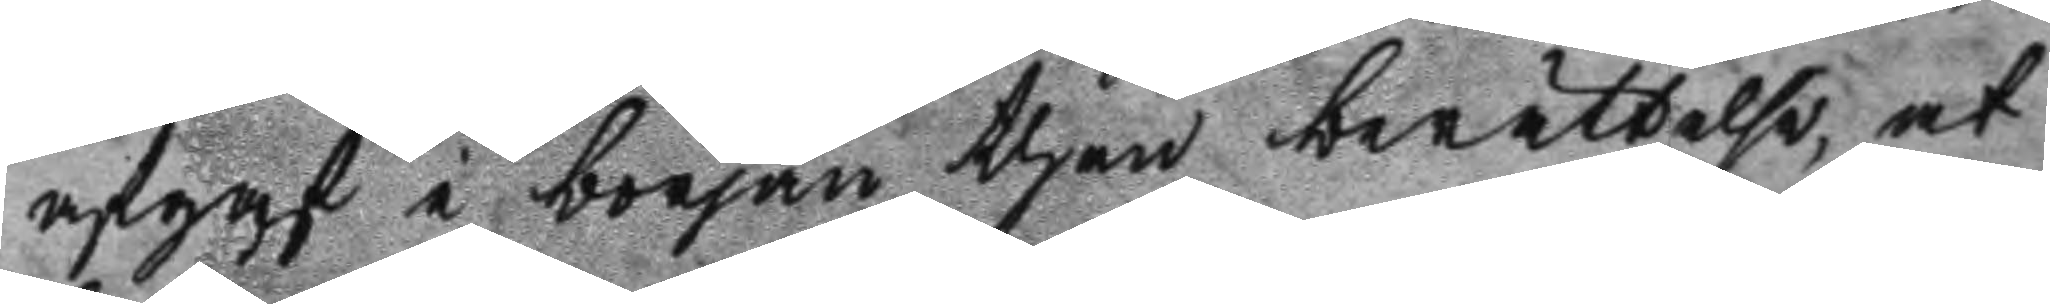afgaf i början then berättelse, at
